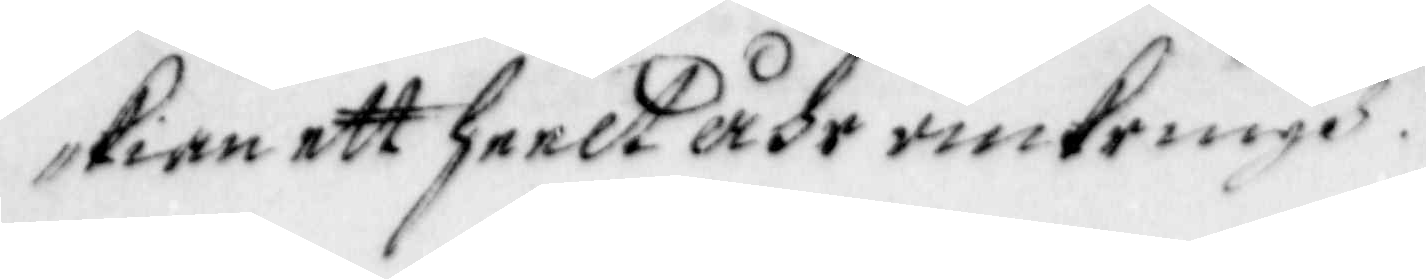kian ett heelt Åhr omkringh.
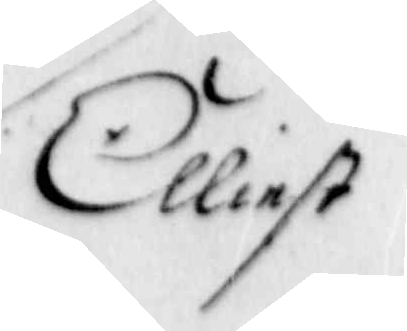Elliest
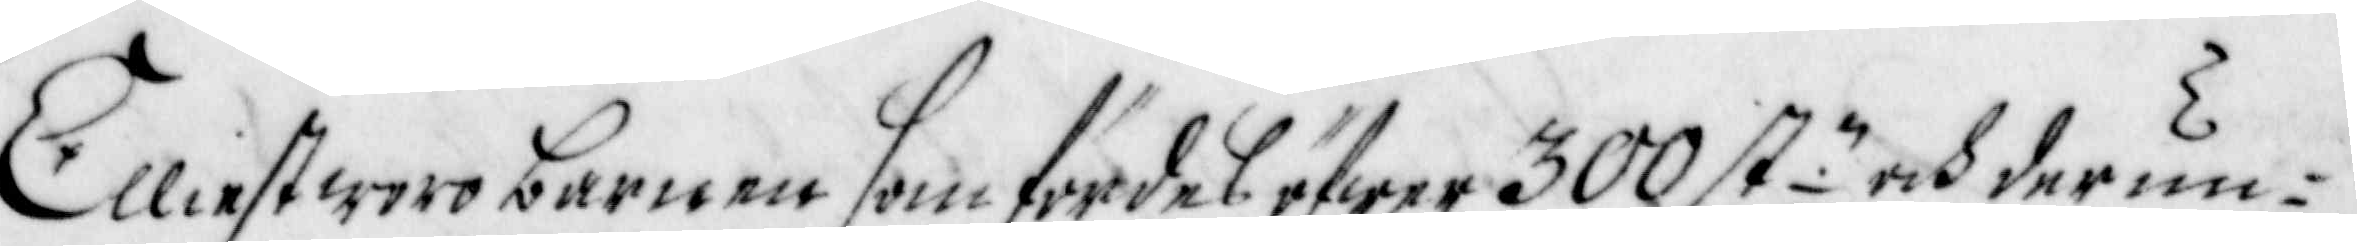Elliest woro barnen som fördes öfwer 300 st:n och der un¬
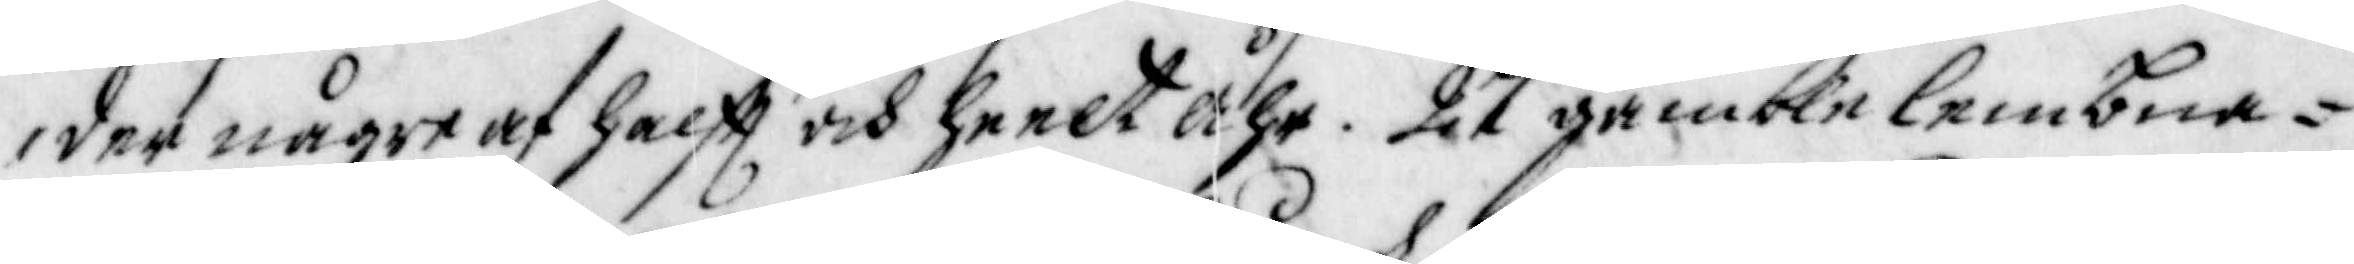der någre af halfft och heelt Åhr. 27 gamble lembna¬
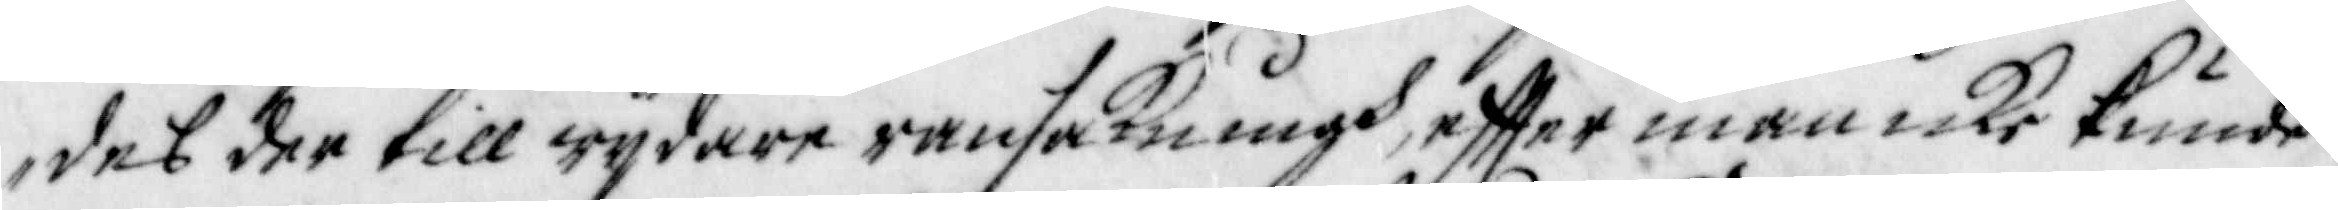des der till wijdare ransakningh, effter man icke kunde
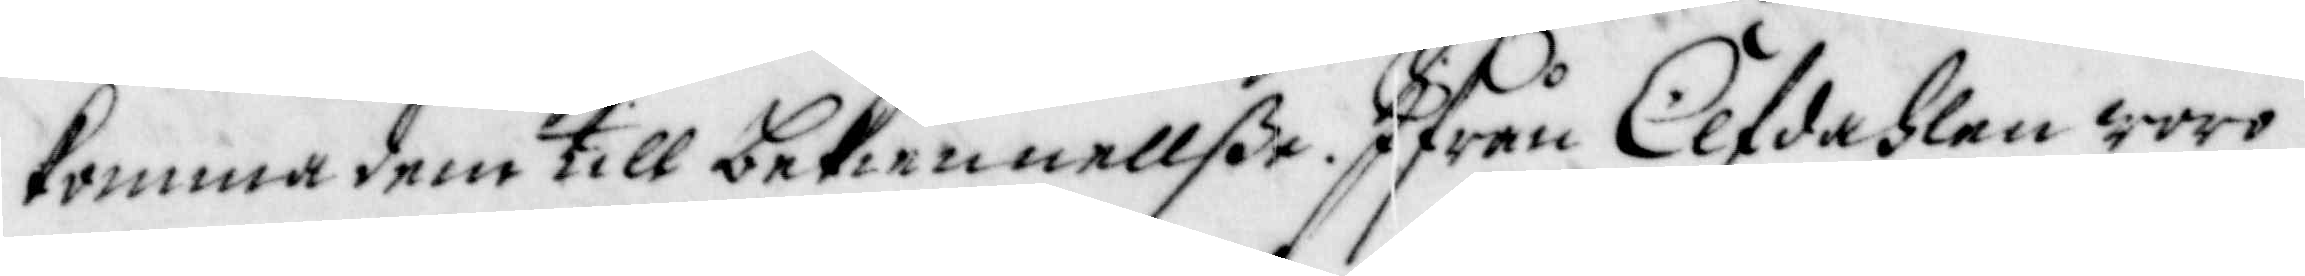komma dem till bekiennellße. Ifrån Elfdahlen woro
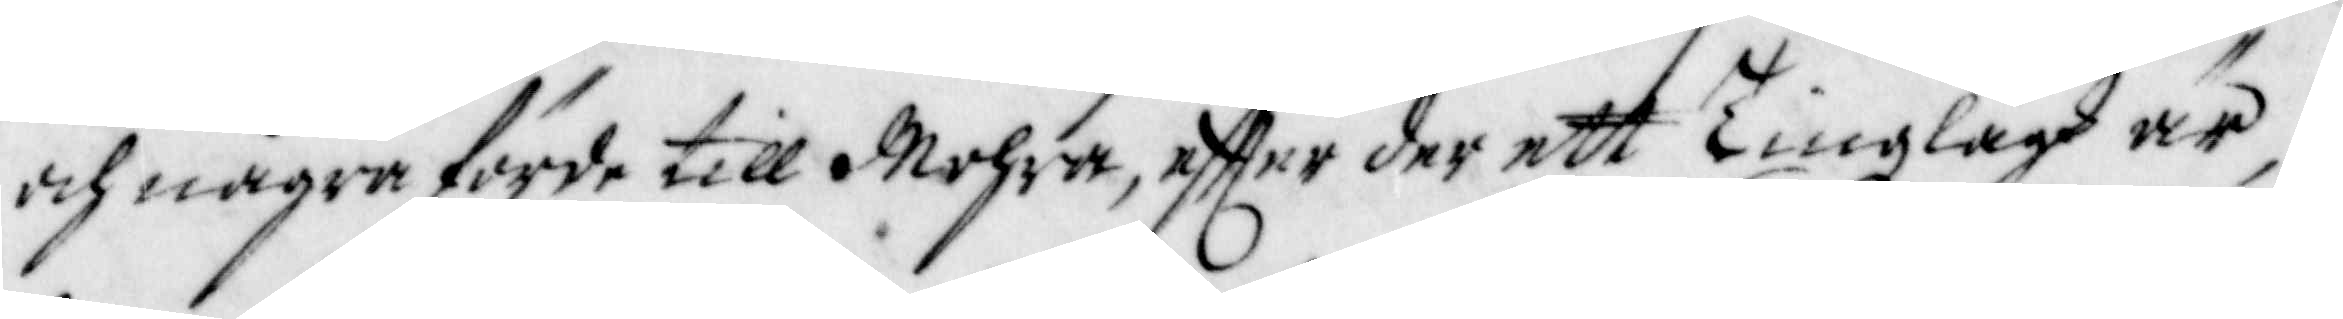och några förde till Mohra, effter der ett tingzlagh är,
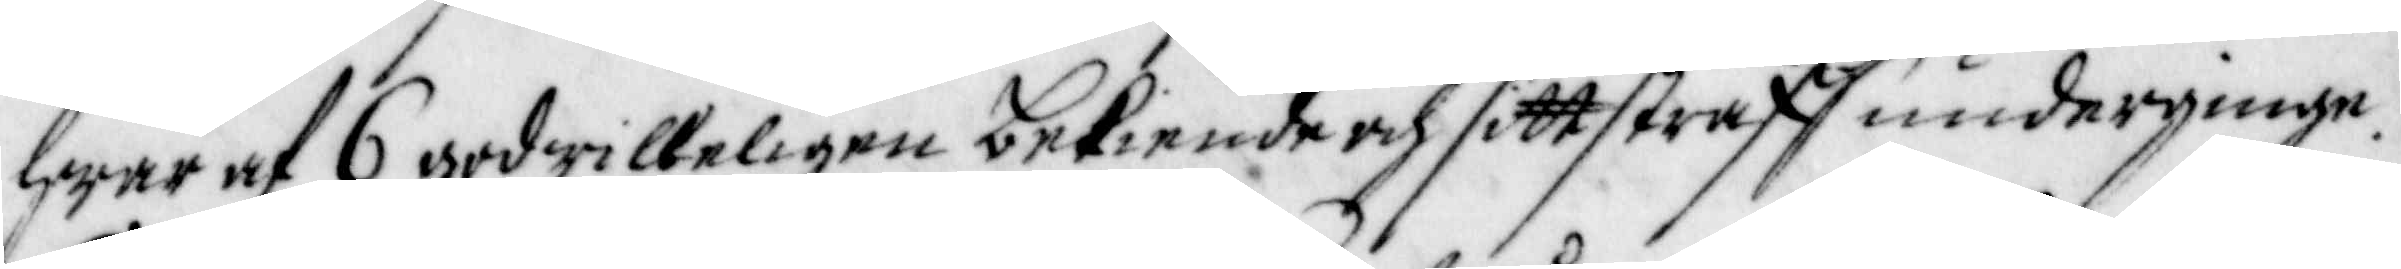hwar af 6 godwilleligen bekiende och sitt straff underginge.
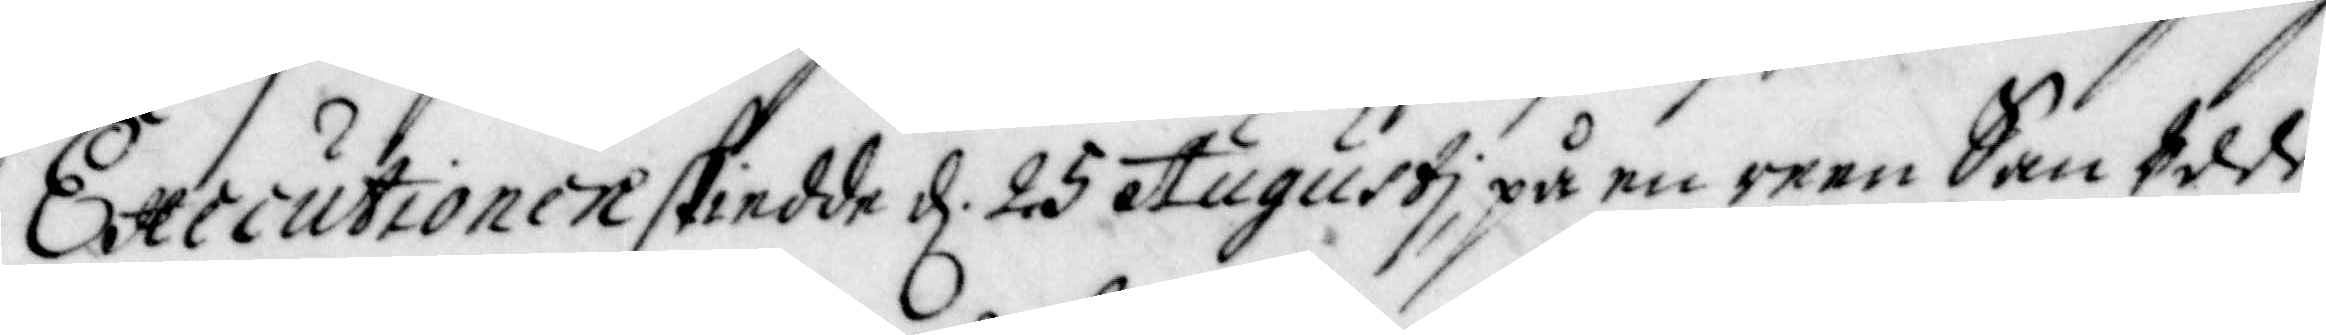Executionen skiedde d. 25 Augusti, på en reen San Udde
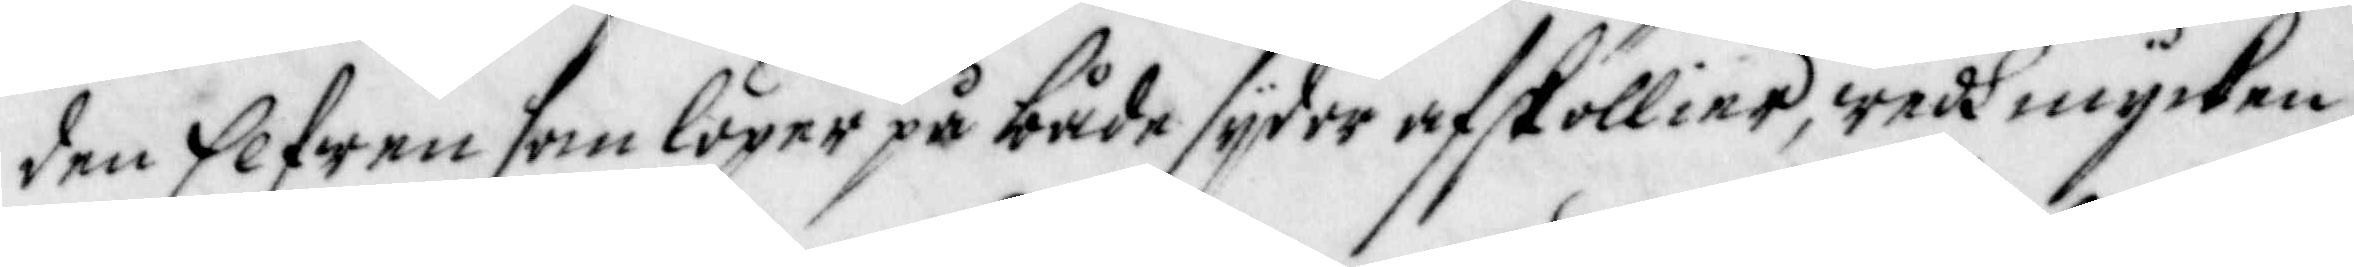den Elfwen som löper på både sijder afsköllier, wedh mycken
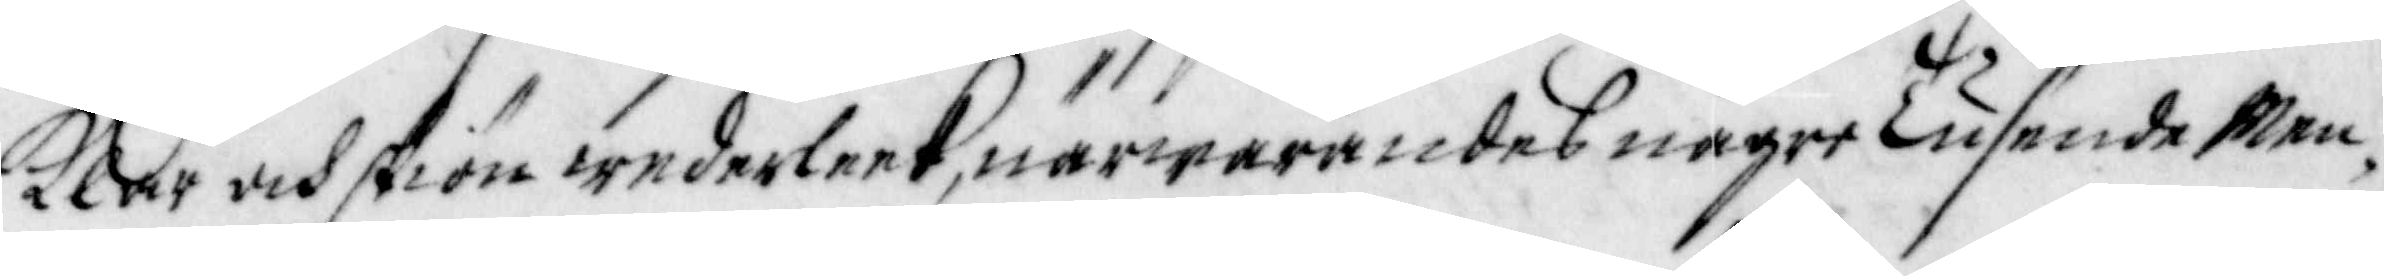Klar och skiön wederleek, närwarandes någre Tusende Men¬
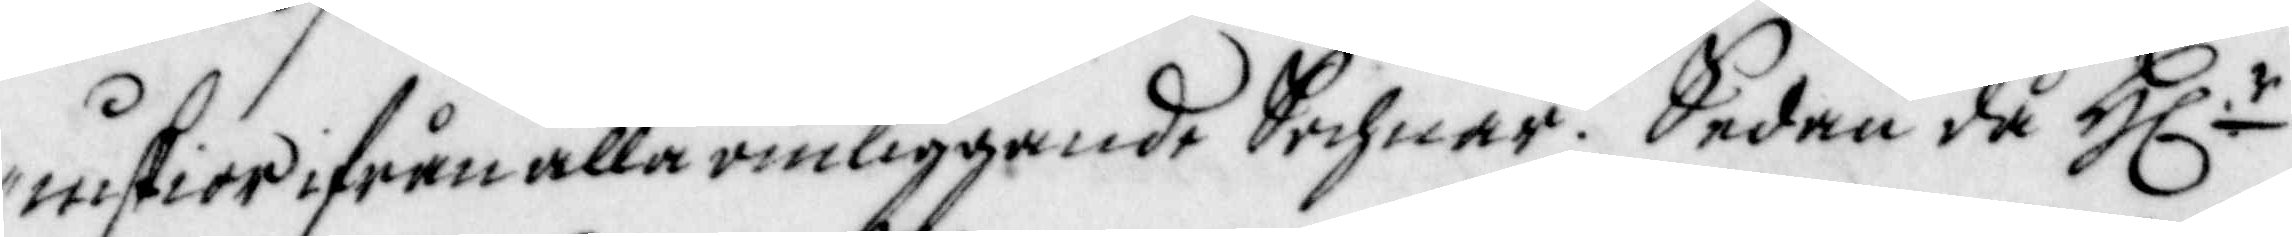niskior ifrån alla omliggande Sochnar. Sedan då H:r
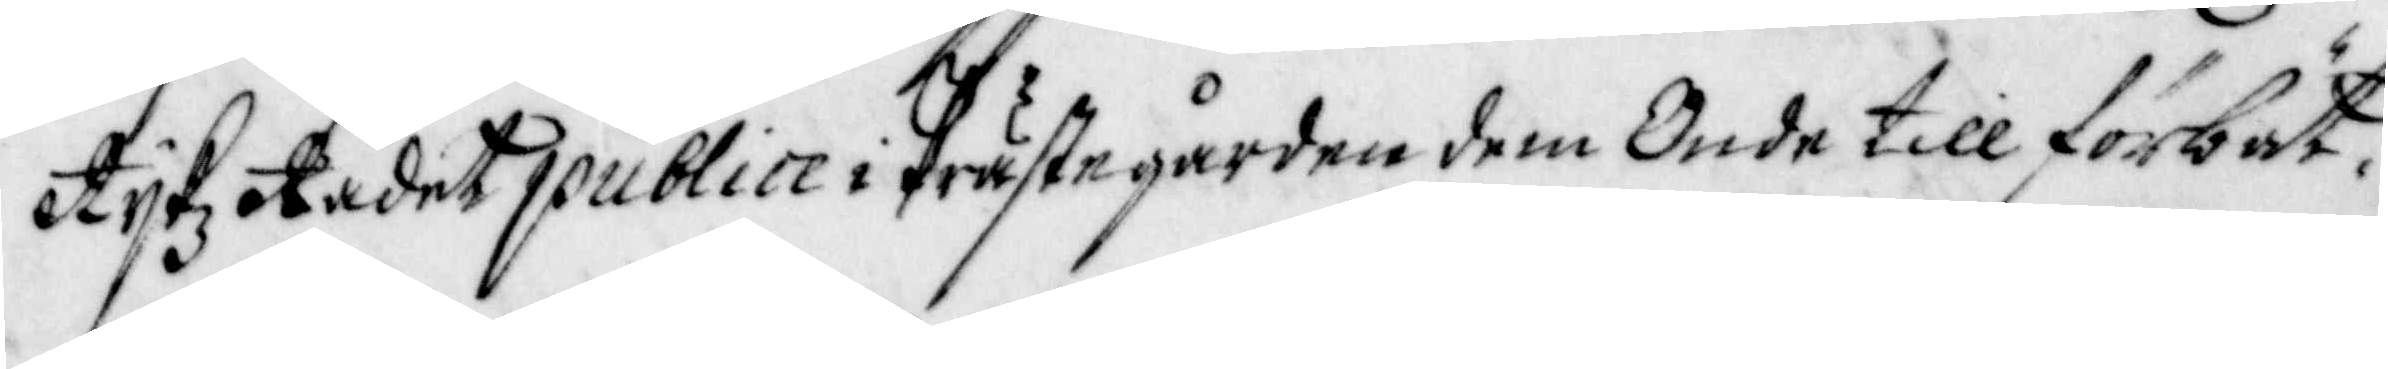Rijkz Rådet publice i Prästegården dem Onde till förbet¬
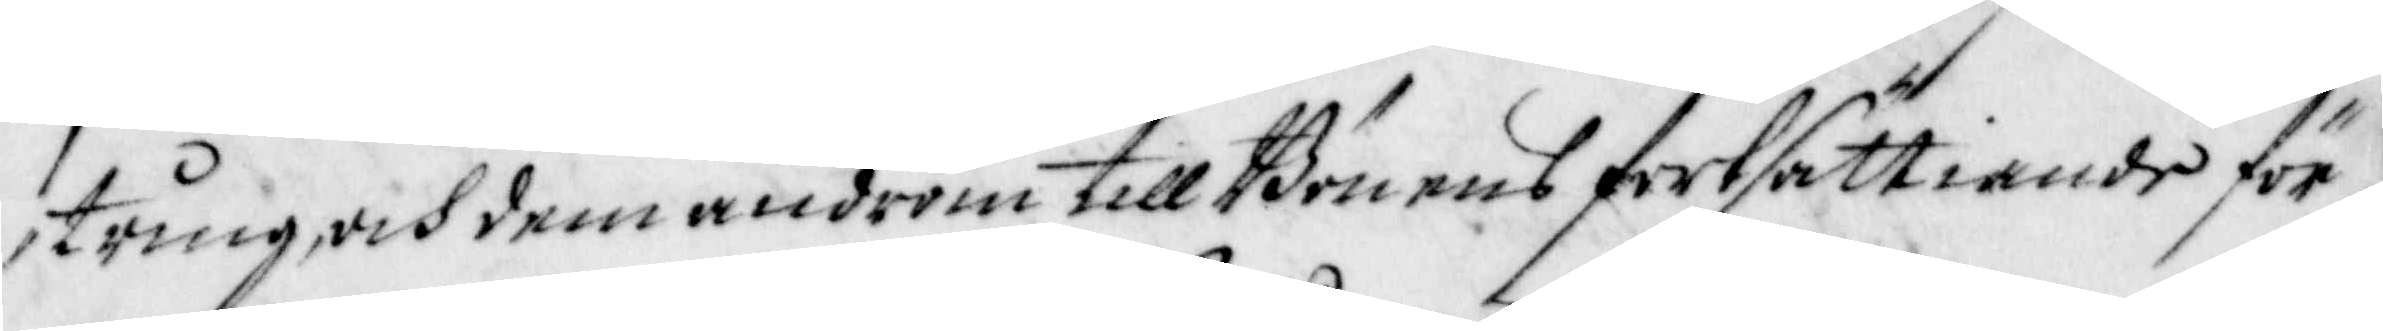tring och dem androm till Bönens fortsättiande för¬
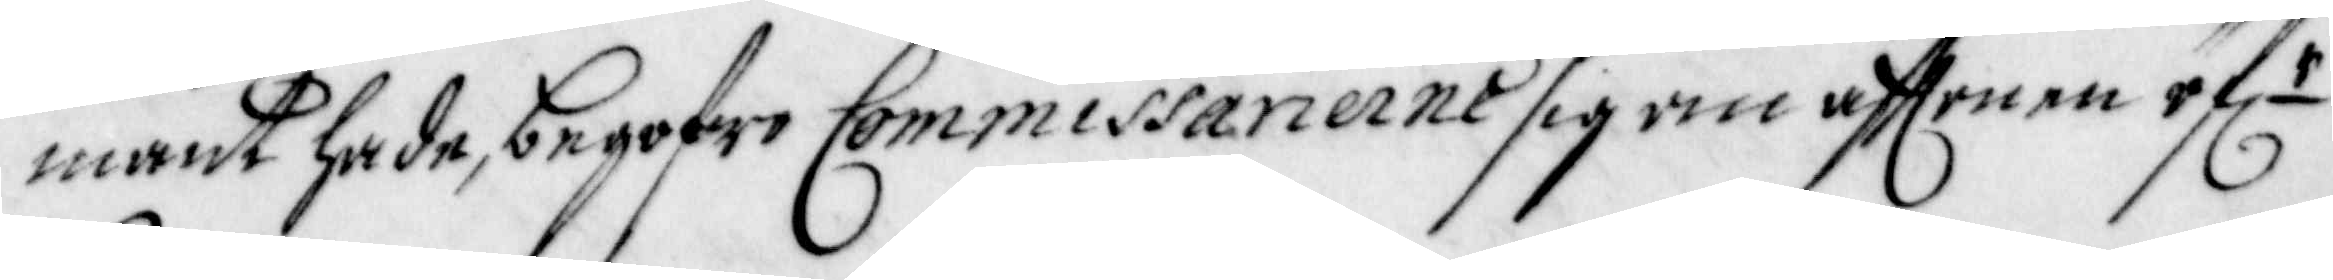mant hade begofwo Commissarierne sig om afftonen öf.r
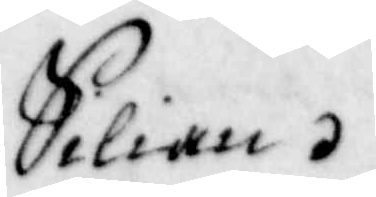Silian.
